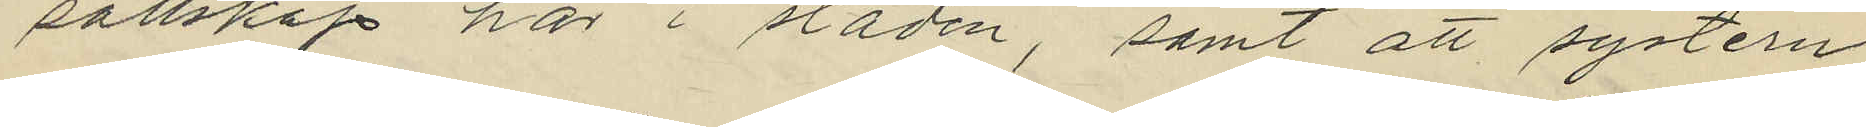sällskap här i staden, samt att systern
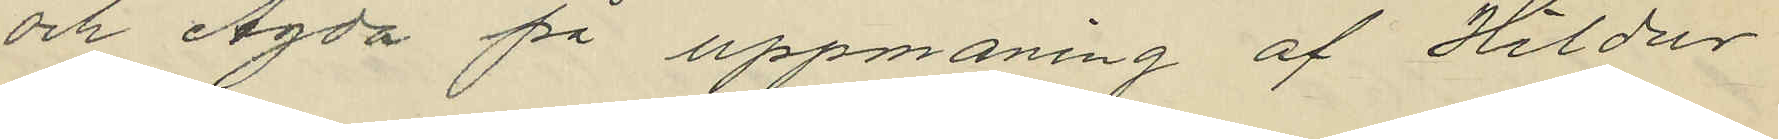och Agda på uppmaning af Hildur
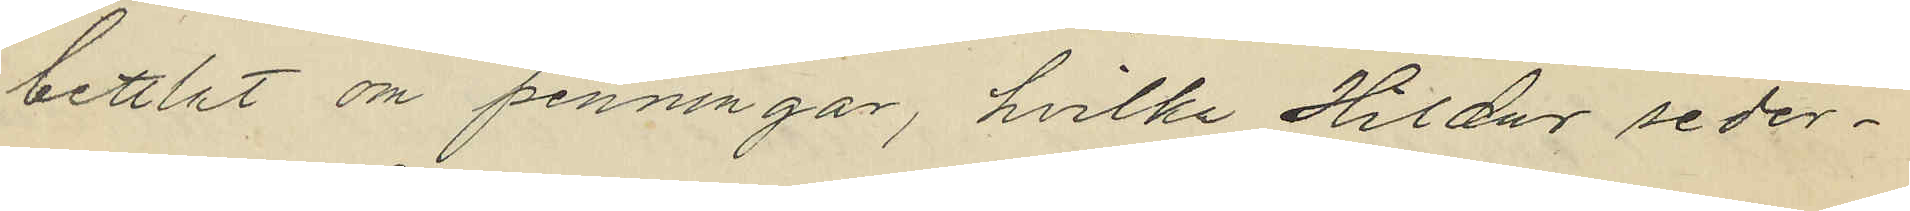bettlat om penningar, hvilka Hildur seder¬
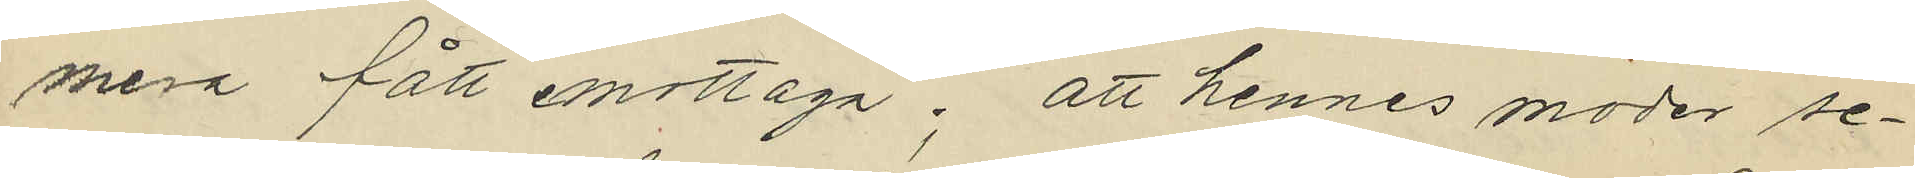mera fått emottaga; att hennes moder se¬
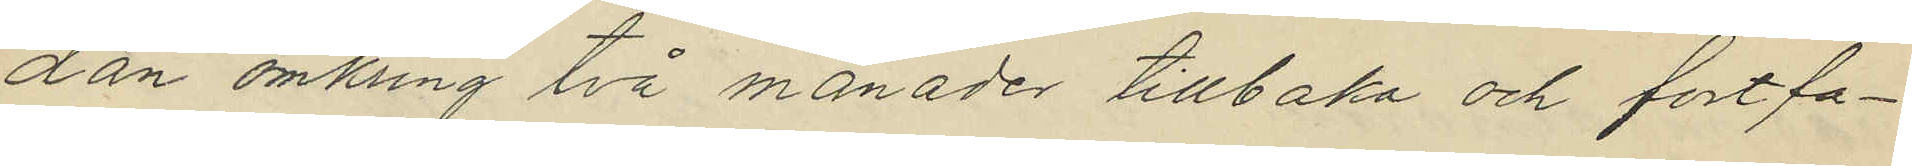dan omkring två månader tillbaka och fortfa¬
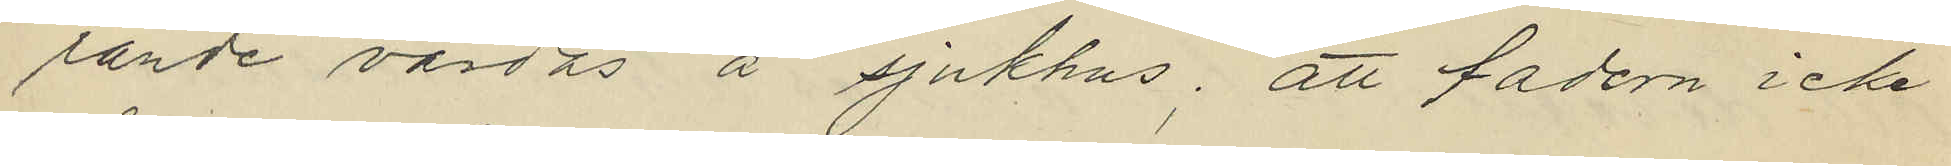rande vårdas å sjukhus; att fadern icke
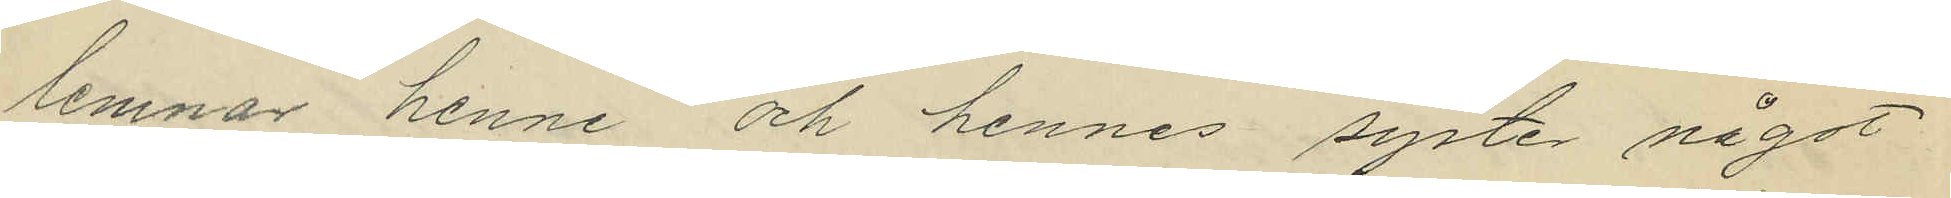lemnar henne och hennes syster något
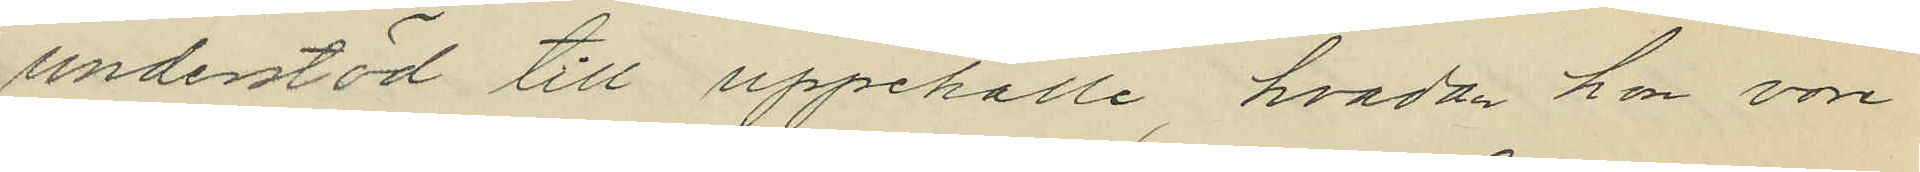understöd till uppehälle, hvadan hon vore
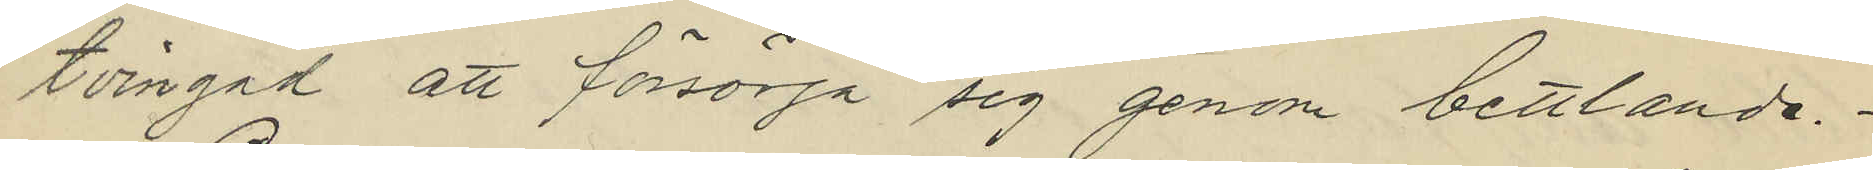tvingad att försörja sig genom bettlande.
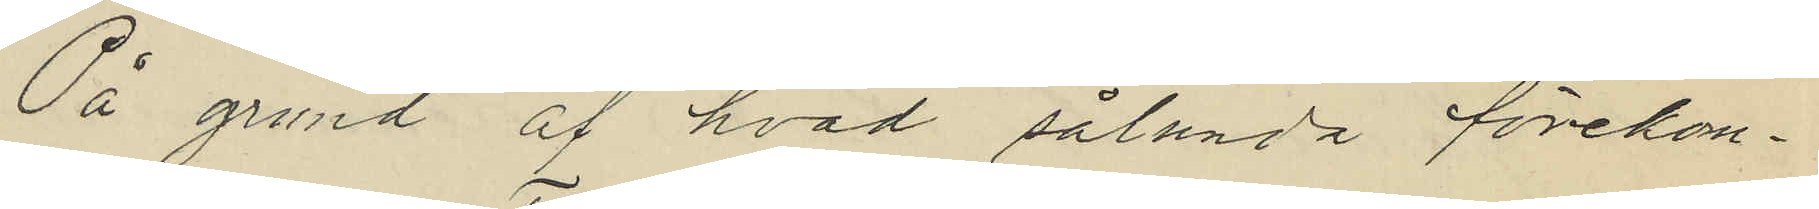På grund af hvad sålunda förekom¬
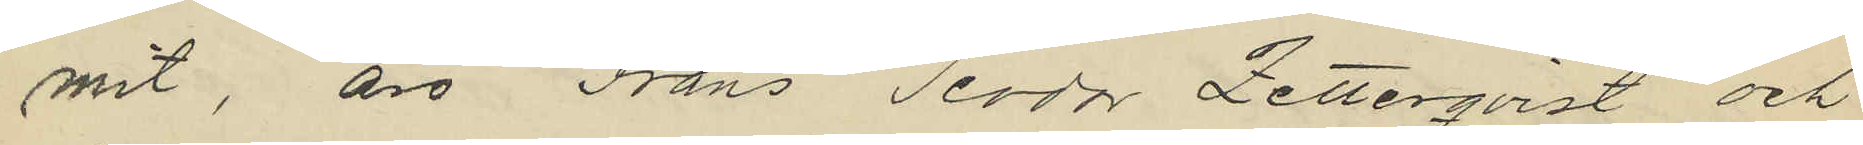mit, äro Frans Teodor Zetterqvist och
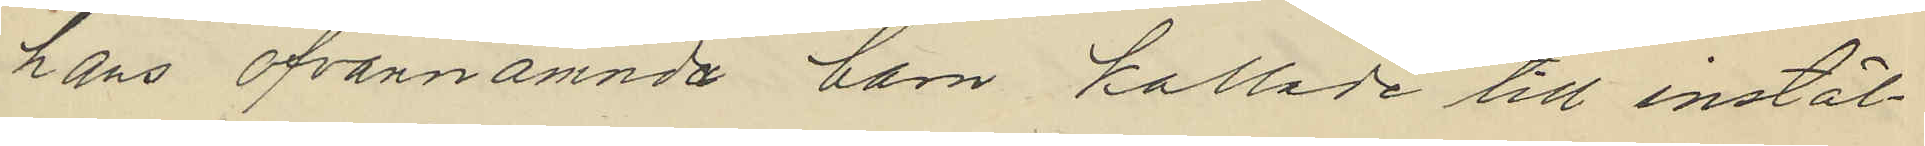hans ofvannämnda barn kallade till instäl¬
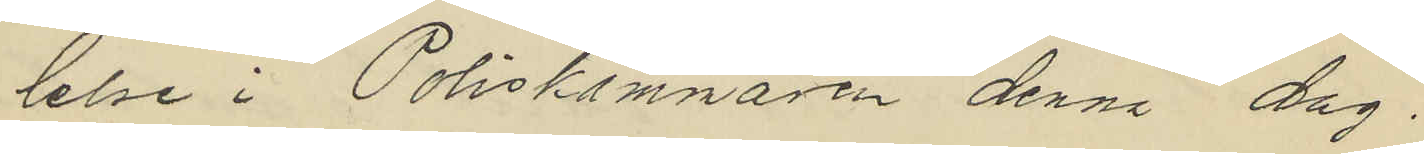lelse i Poliskammaren denna dag.
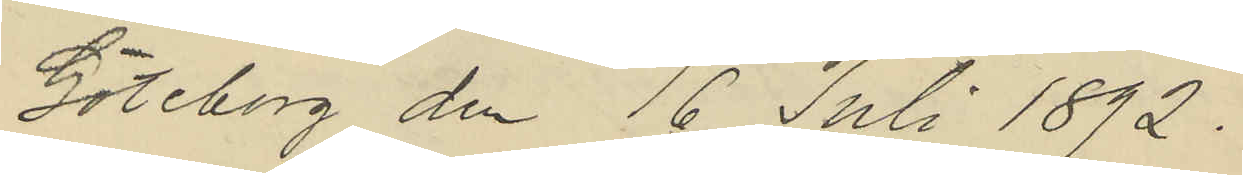Göteborg den 16 Juli 1892.
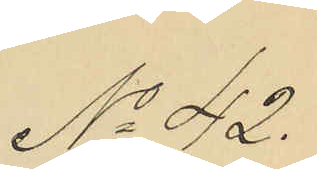No 42.
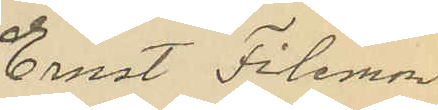Ernst Filemon
